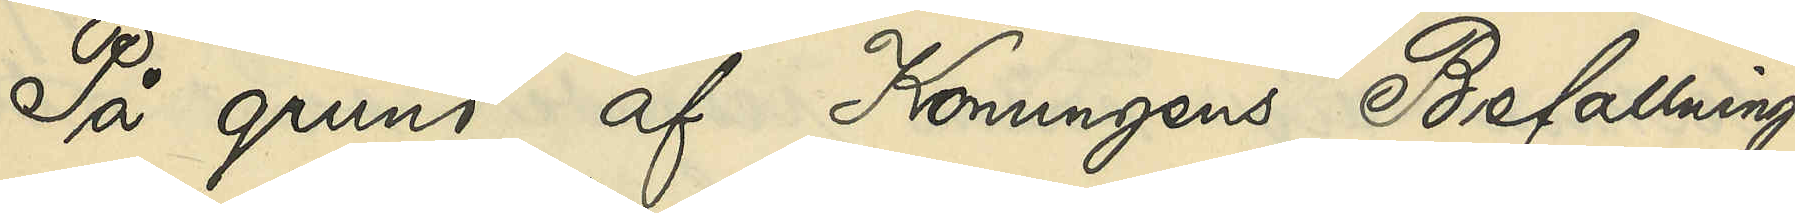På grund af Konungens Befallnings¬
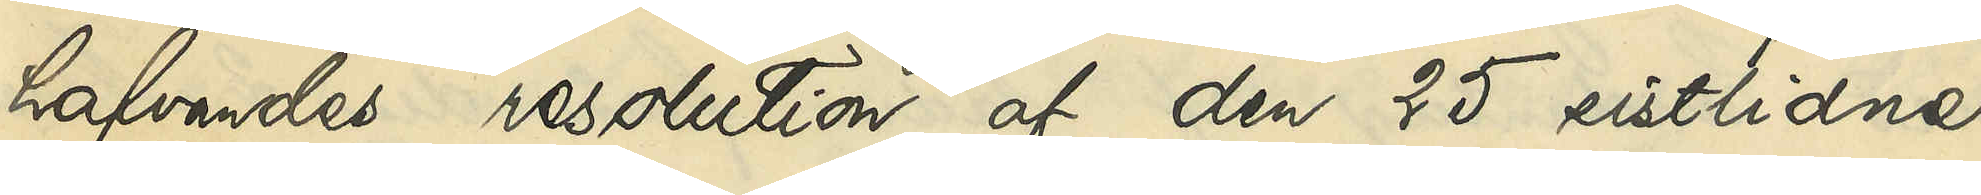hafvandes resolution af den 25 sistlidne
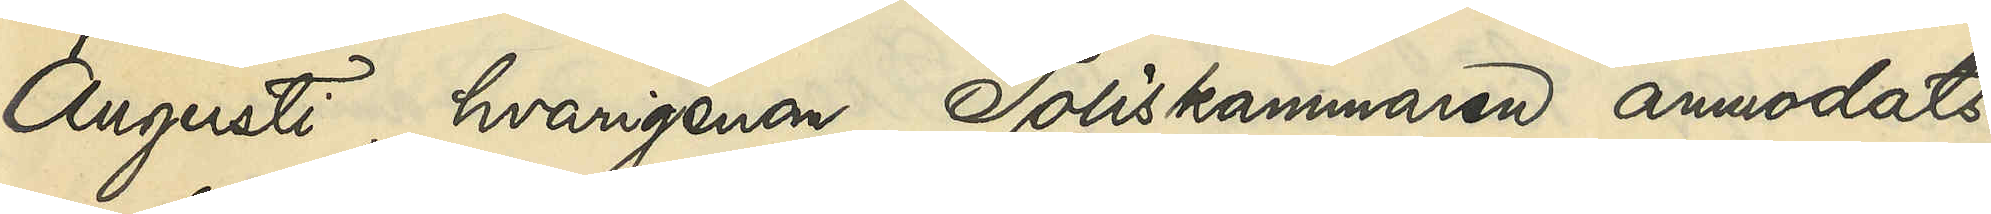Augusti, hvarigenom Poliskammaren anmodats
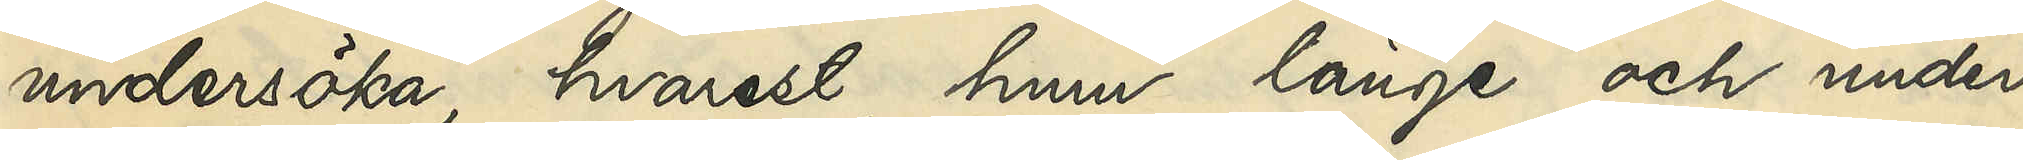undersöka, hvarest, huru länge och under
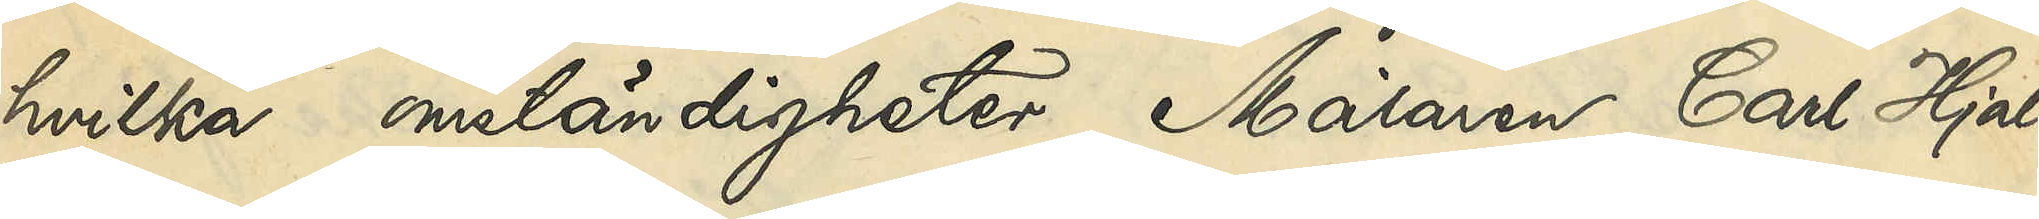hvilka omständigheter Målaren Carl Hjal¬
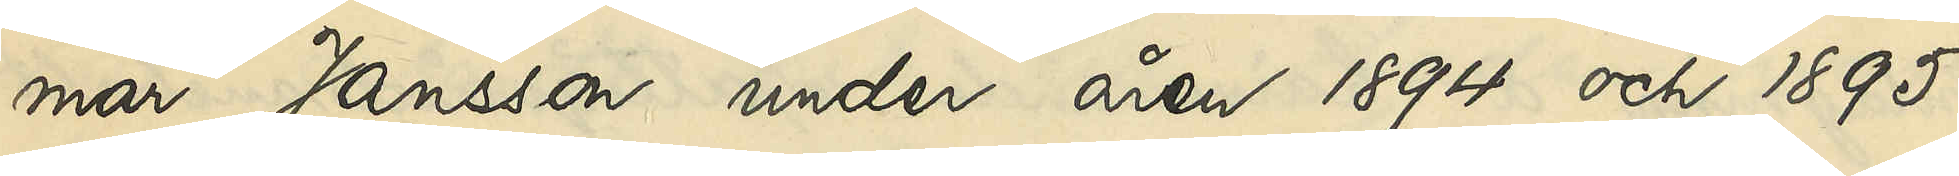mar Jansson under åren 1894 och 1895
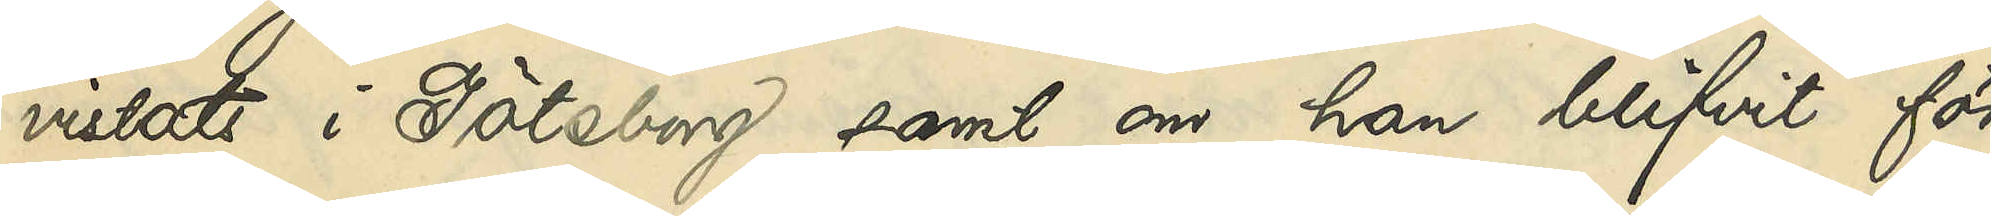vistats i Göteborg samt om han blifvit för
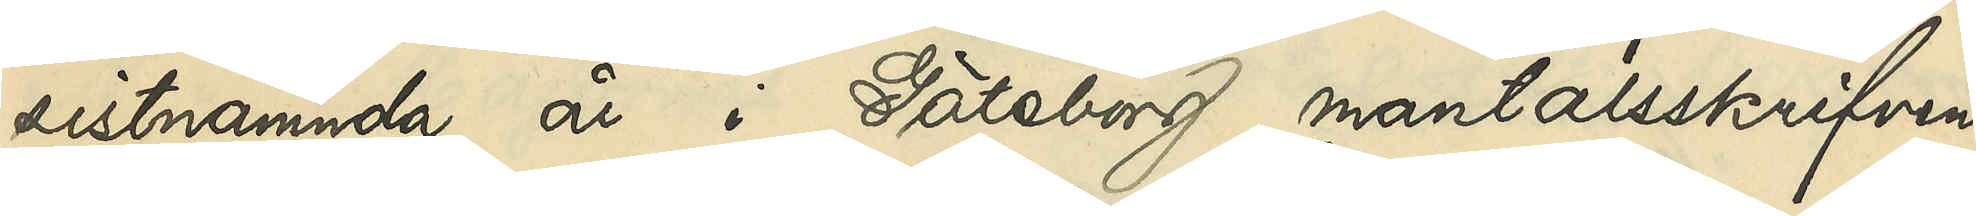sistnämnda år i Göteborg mantalsskrifven,
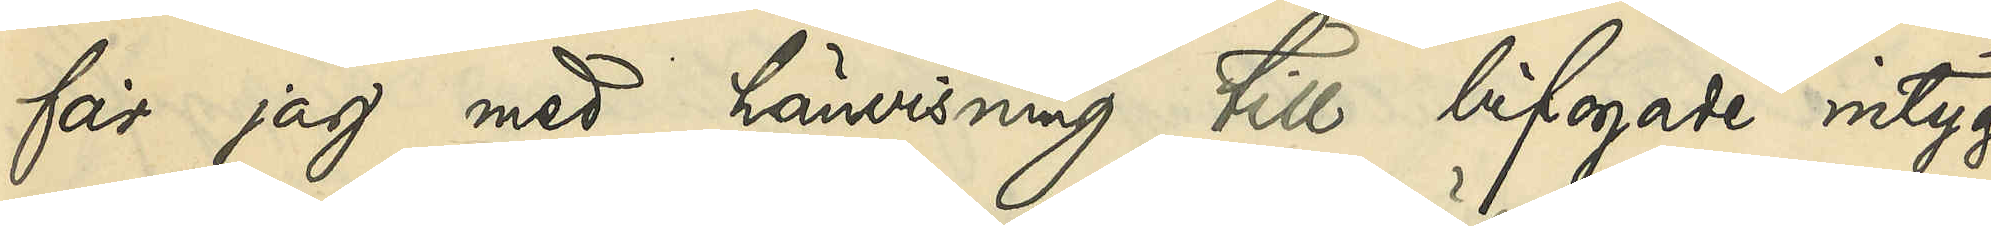får jag med hänvisning till bifogade intyg
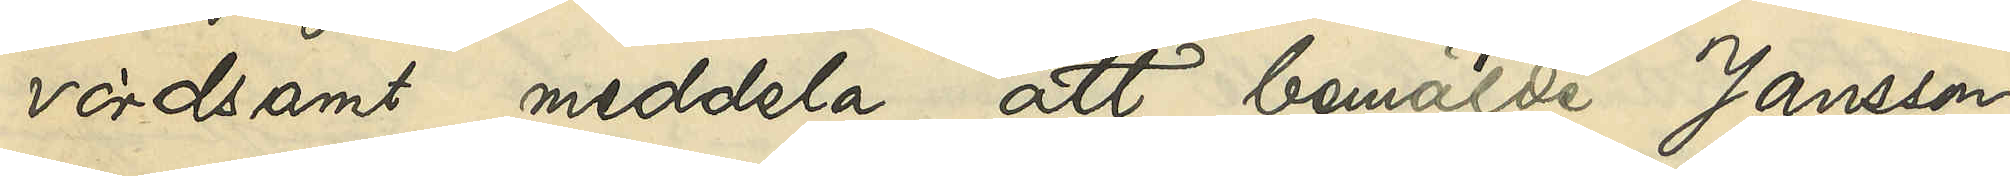vördsamt meddela, att bemälda Jansson,
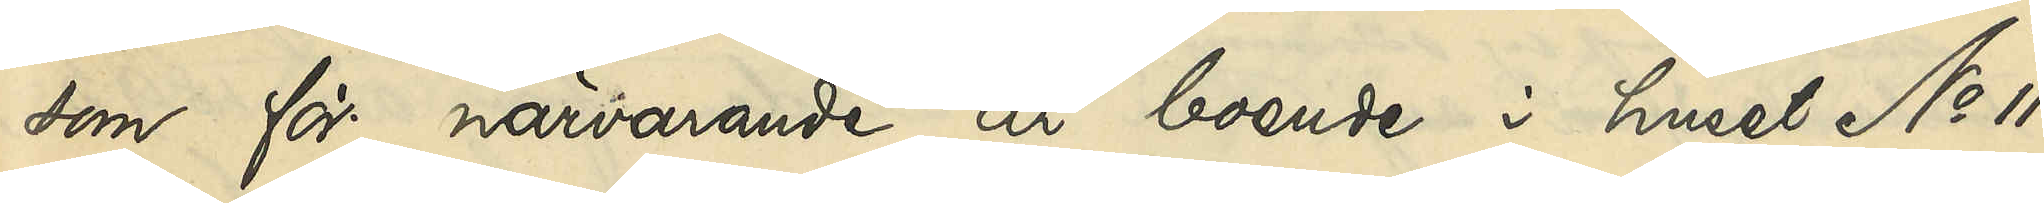som för närvarande är boende i huset No 11
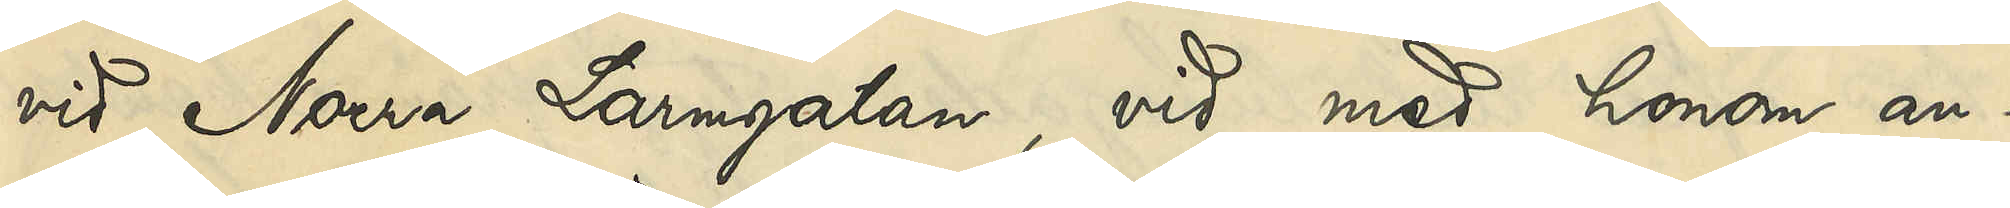vid Norra Larmgatan, vid med honom an¬
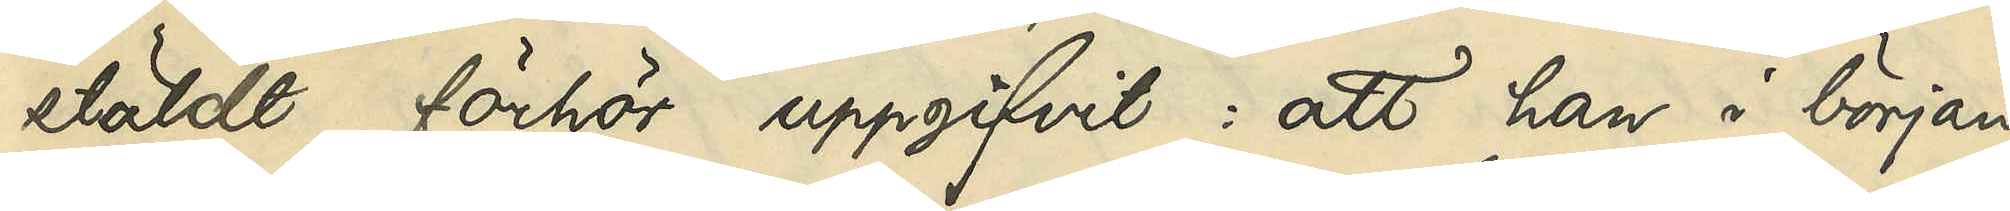stäldt förhör uppgifvit: att han i början
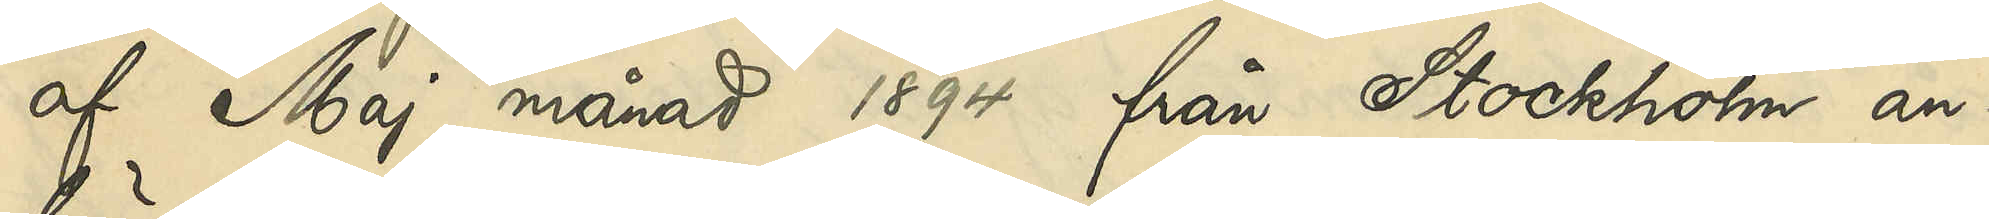af Maj månad 1894 från Stockholm an¬
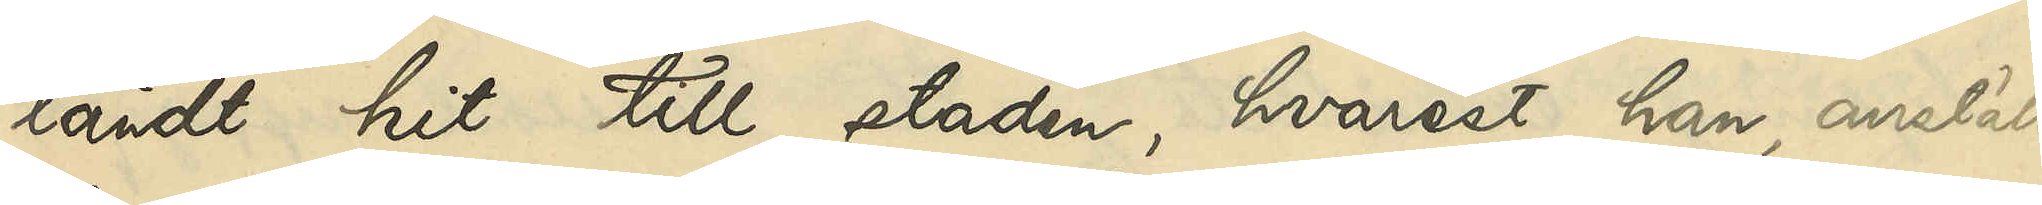ländt hit till staden, hvarest han, anstäld
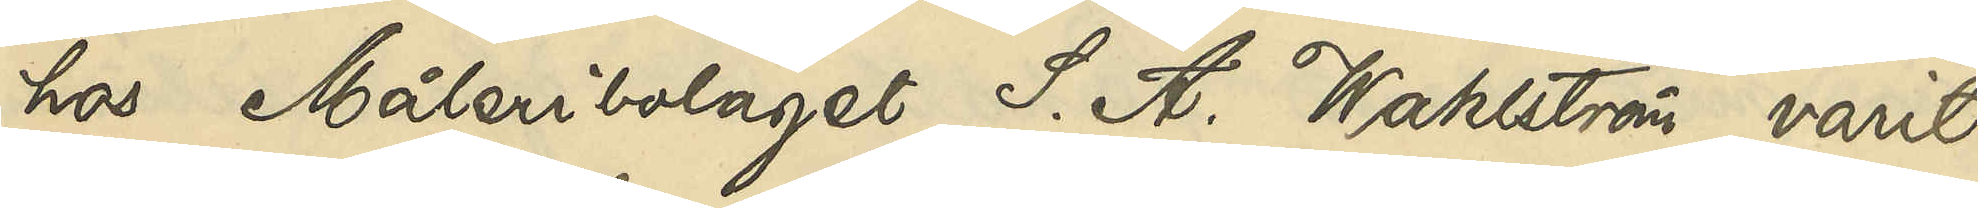hos Måleribolaget S. A. Wahlström, varit
